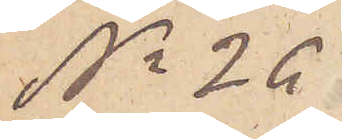No 26
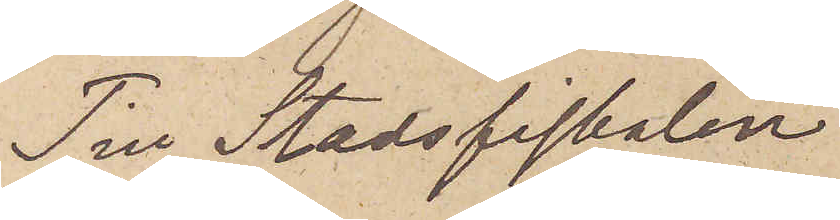Till Stadsfiskalen Kylander
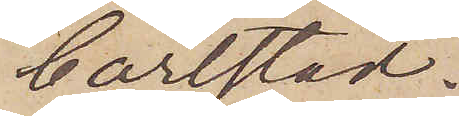Carlstad.
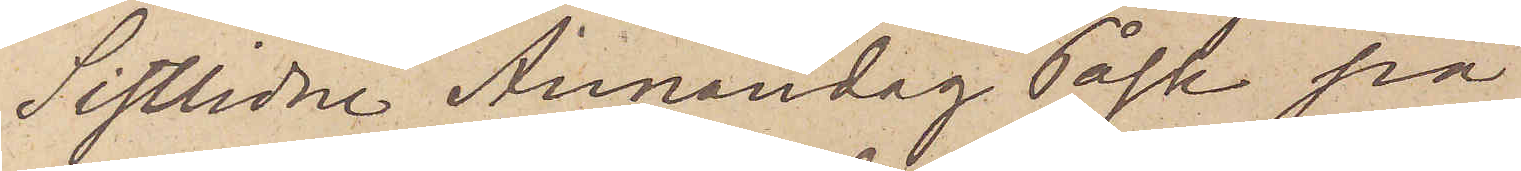Sistlidne Annandag Påsk på
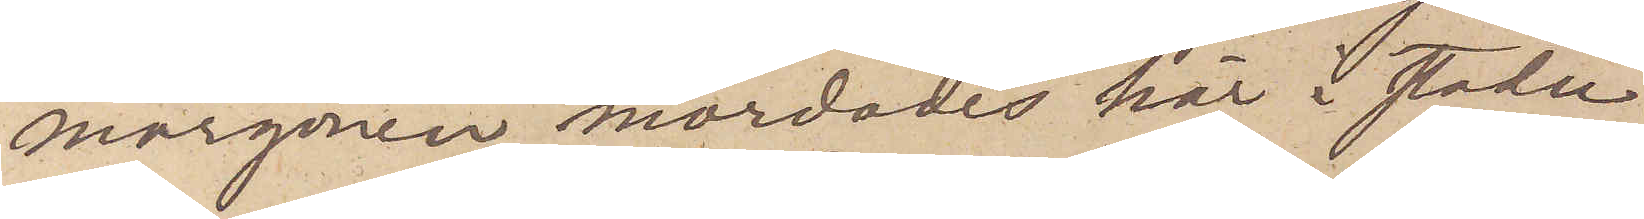morgonen mördades här i staden
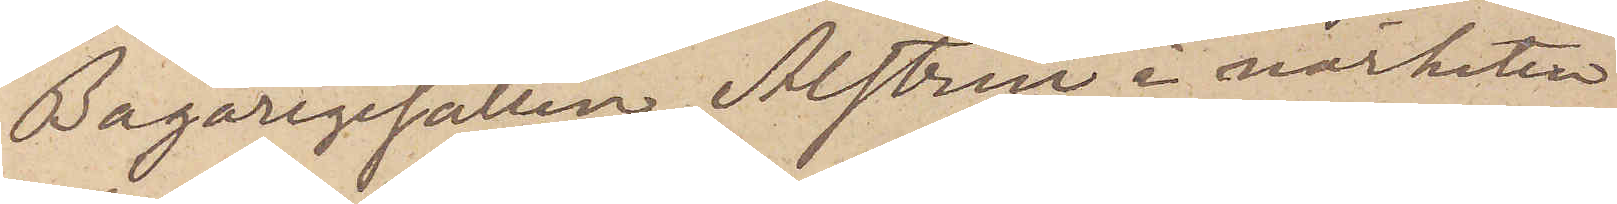Bagaregesällen Alstrin i närheten
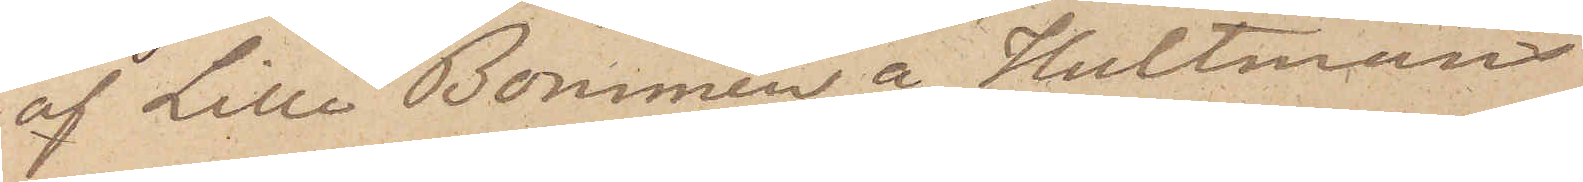af Lilla Bommen å "Hultmans
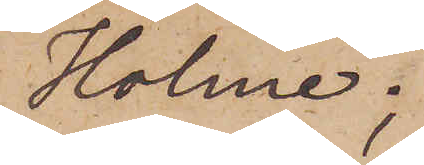Holme";
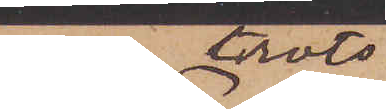men trots
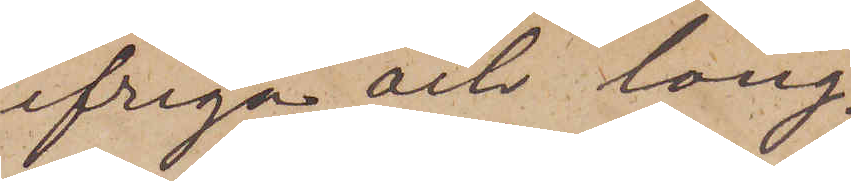ifriga och lång¬
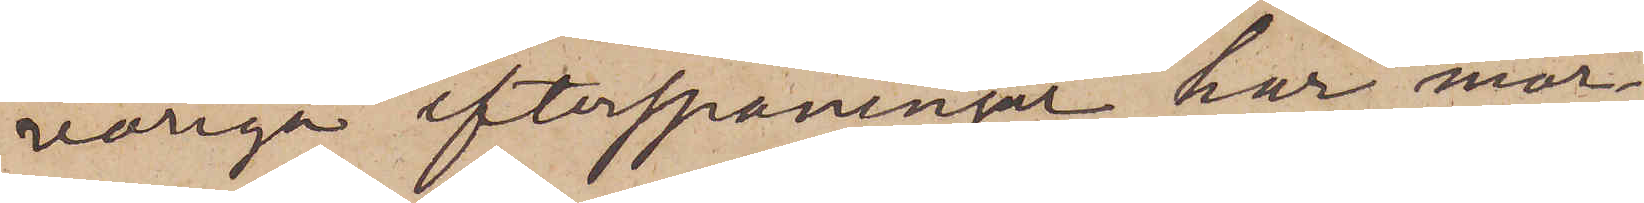variga efterspaningar har mör¬
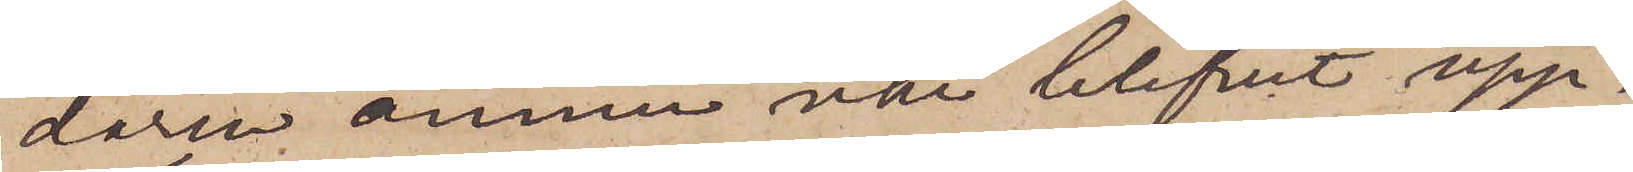daren ännu icke blifvit upp¬
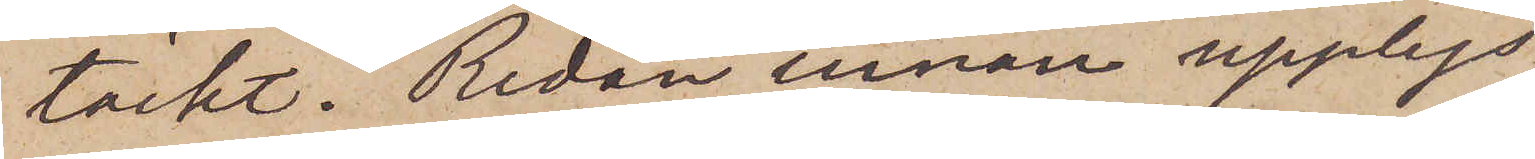täckt. Redan innan upplys¬
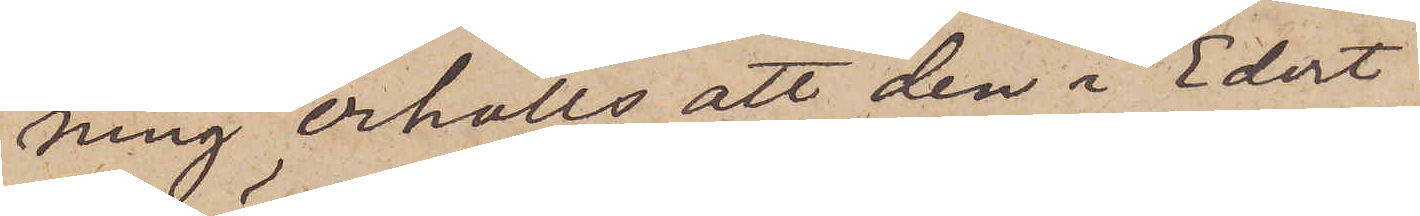ning erhölls att den i Edert
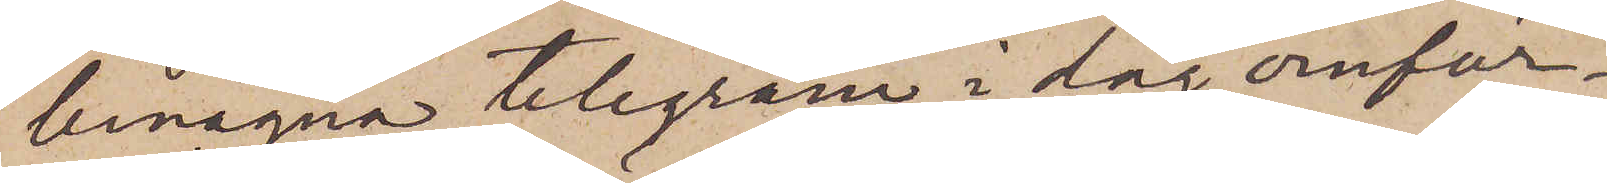benägna telegram i dag omför¬
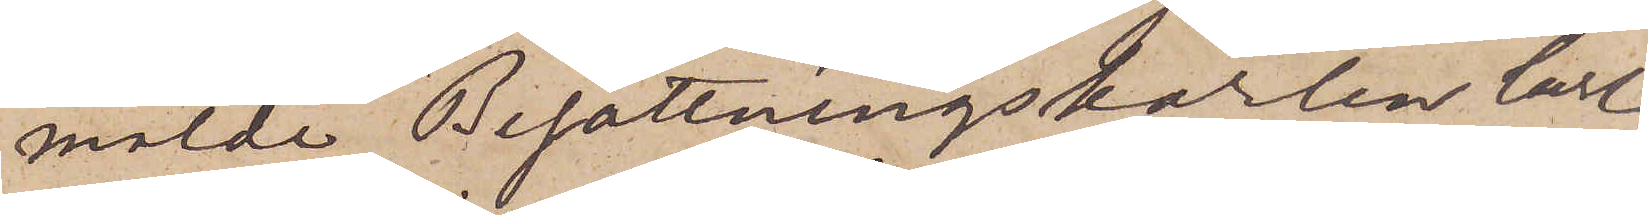mälde Besättningskarlen Carl
